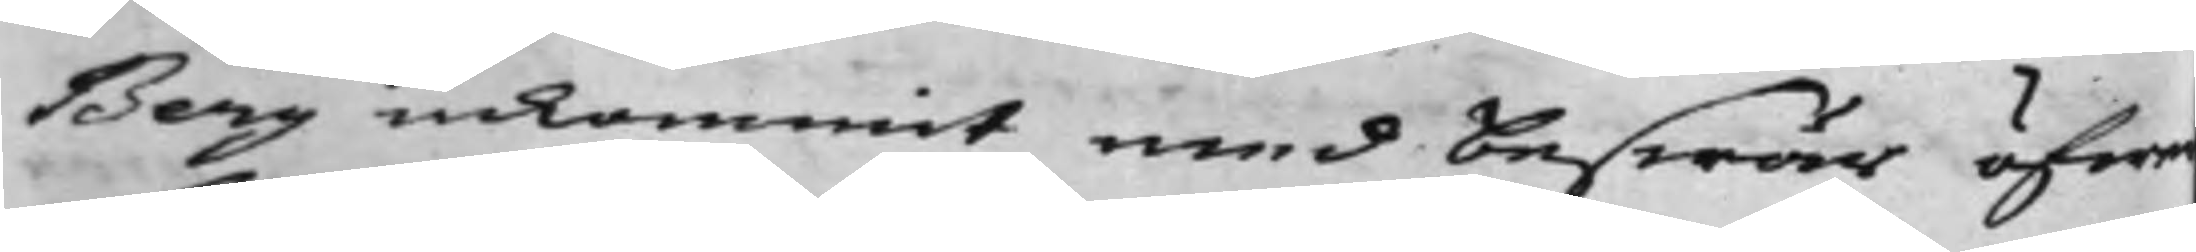Berg inkommit med Beswär öfwer
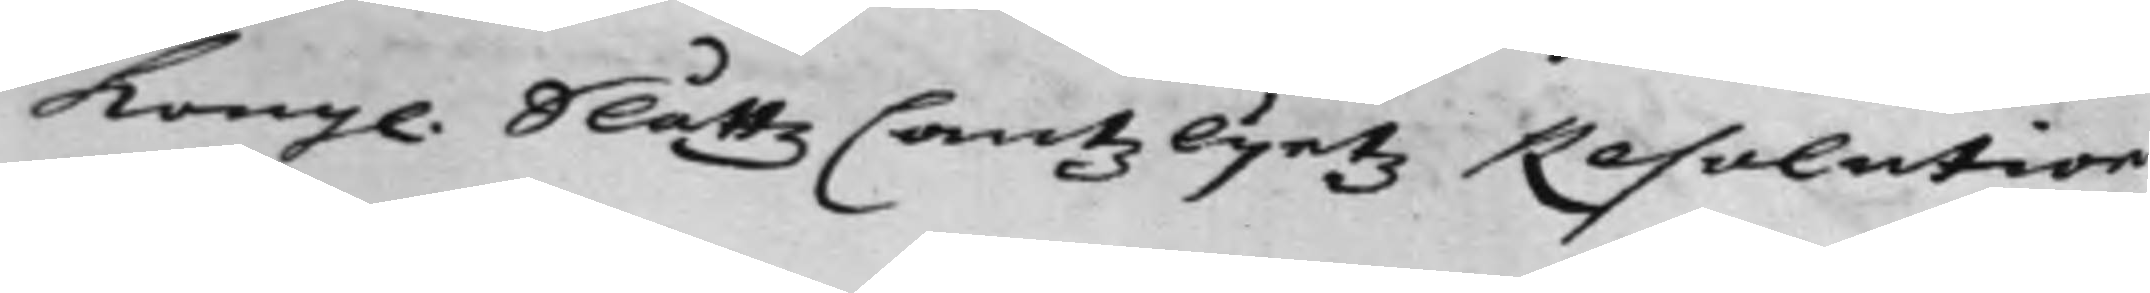Kong. SlåttzCantzlijetz Resolution
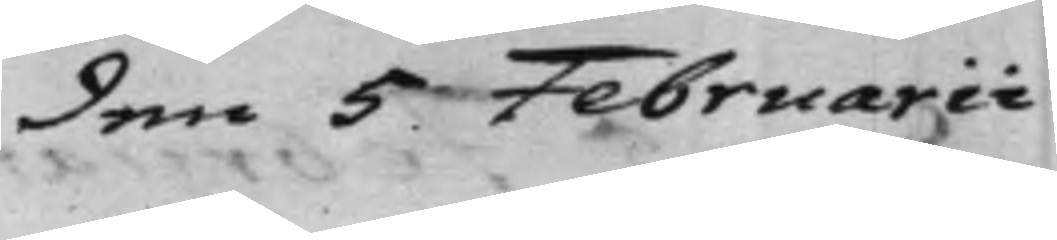den 5 Februarii
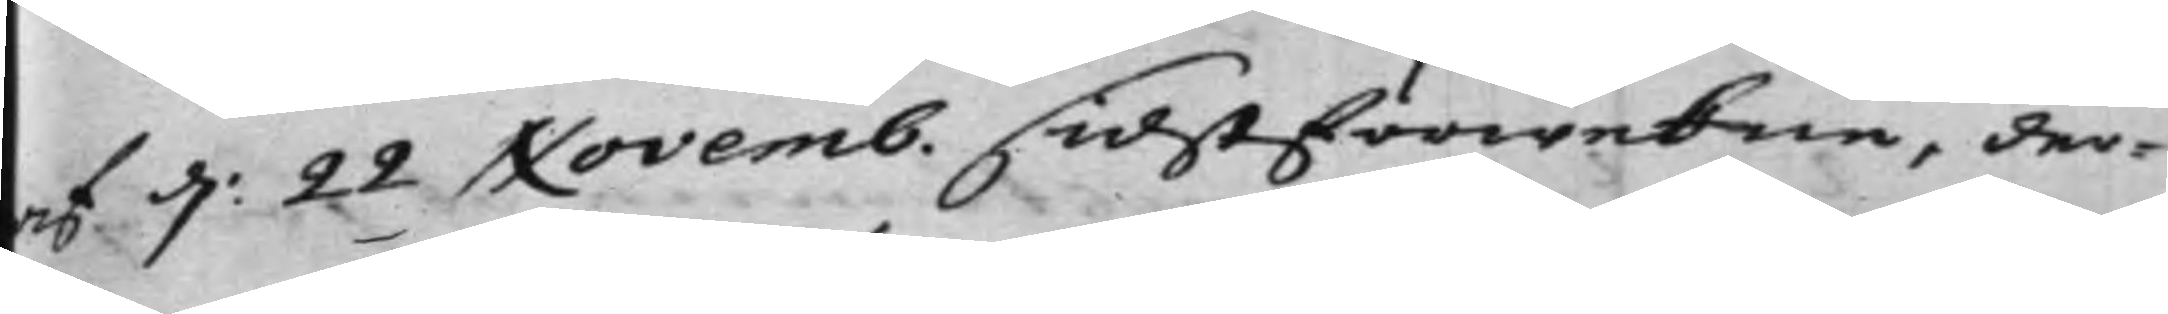af d: 22 Novemb. sidstförwekne, den
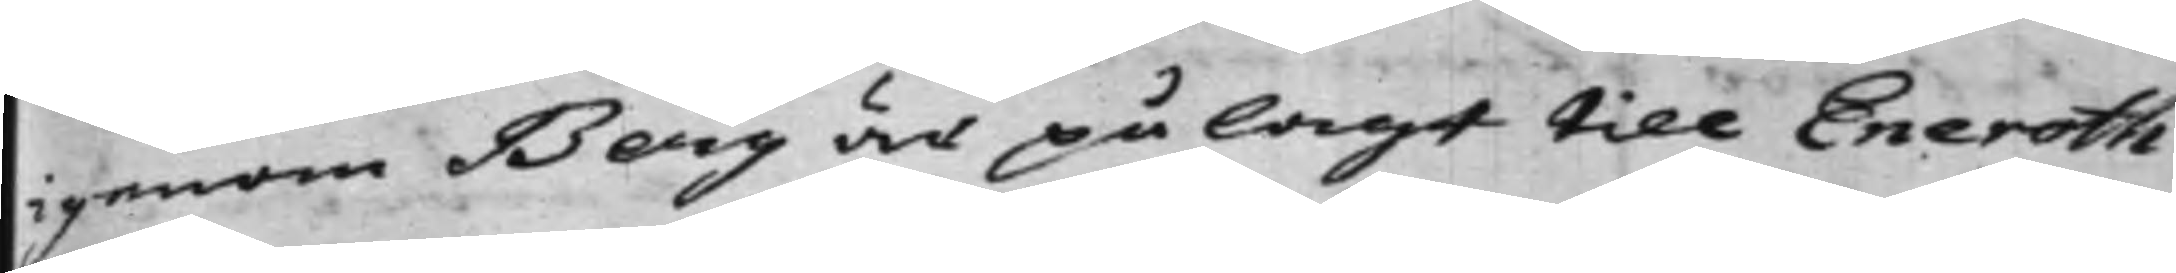igenom Berg är pålagt till Eneroth
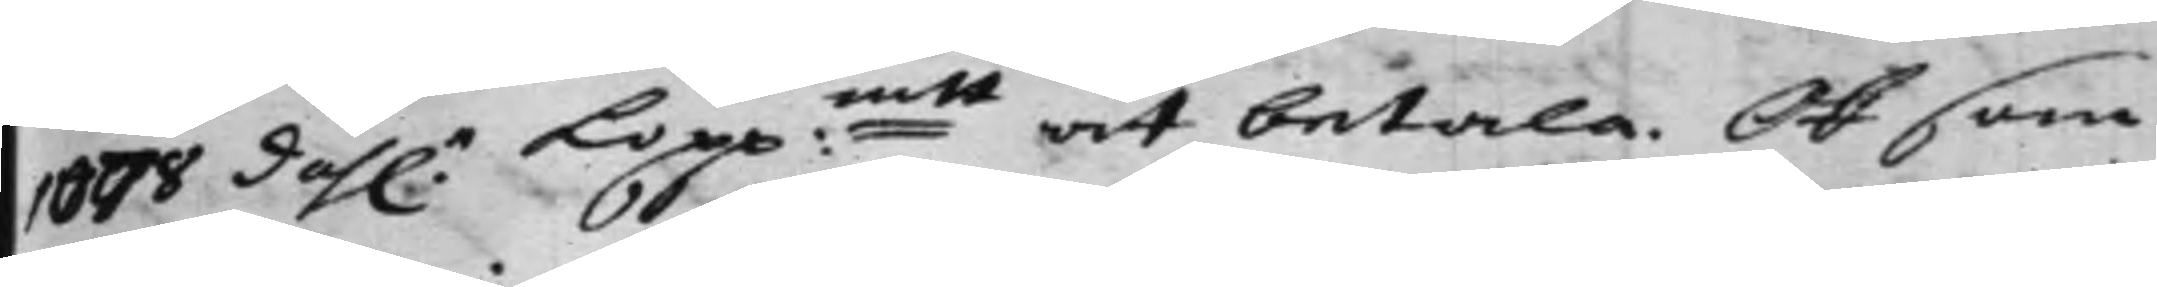1078 dah.r Kopp:mtt at betala. Ok som
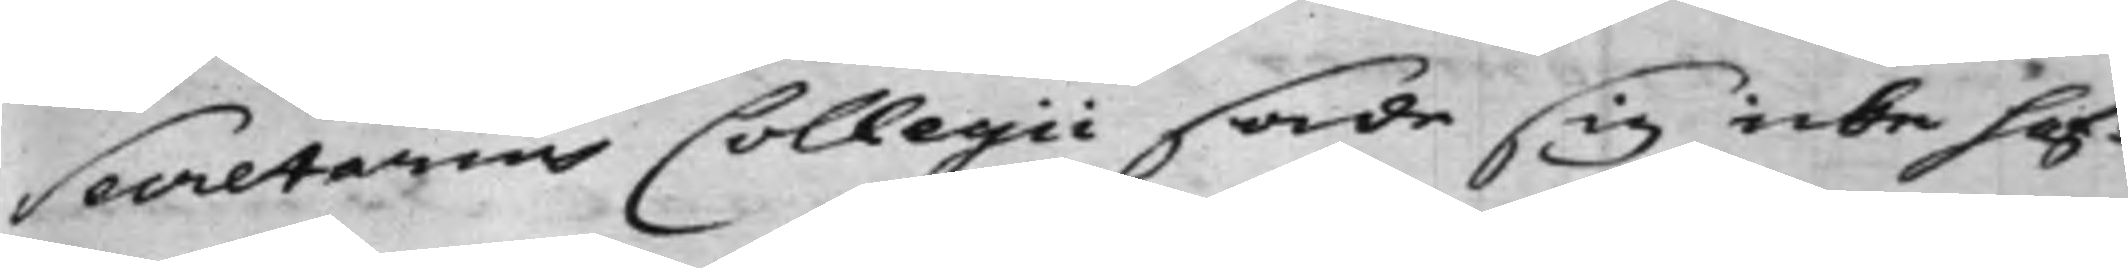Secretarius Collegii sade sig icke haf¬
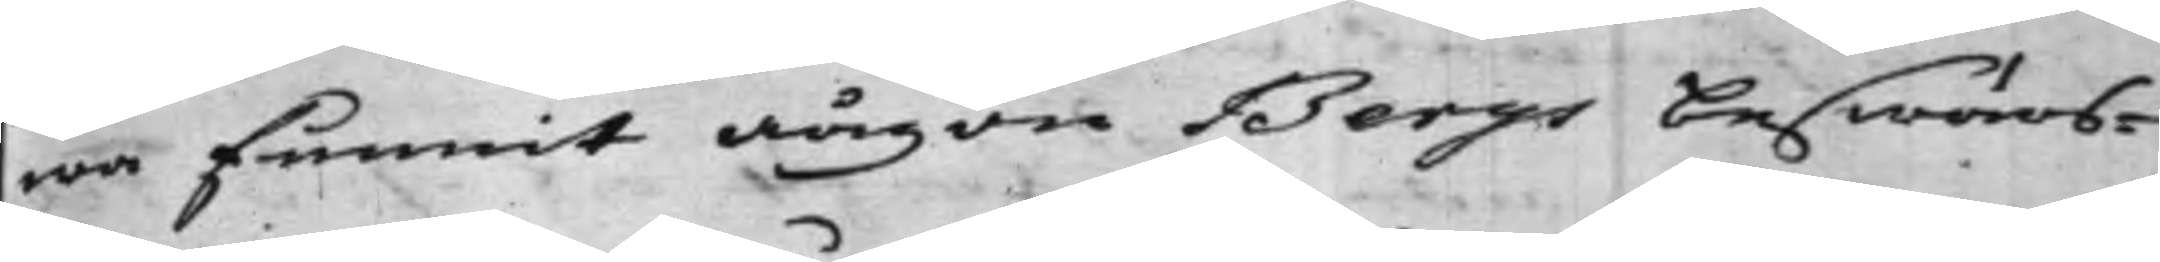wa funnit någon Bergs beswärs¬
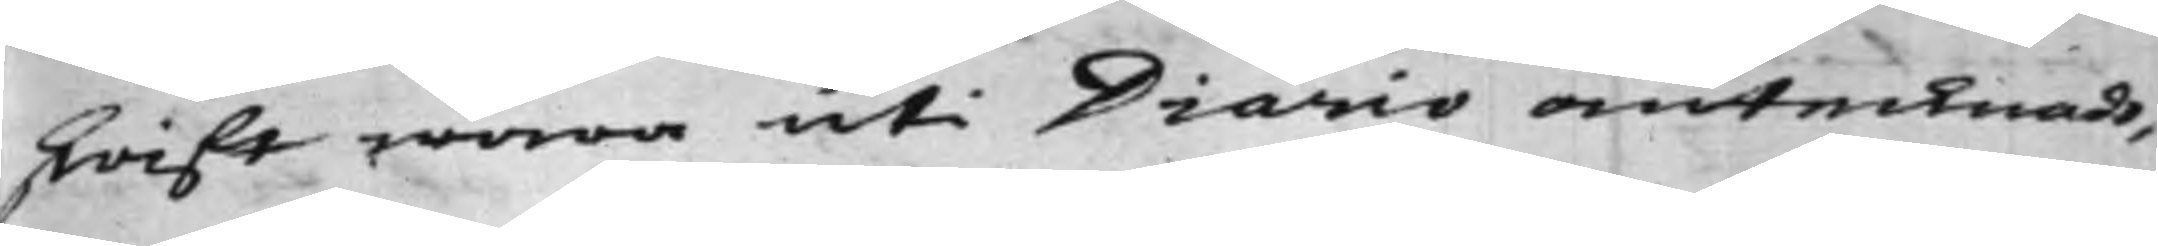skrift wara uti Diario antecknadt,
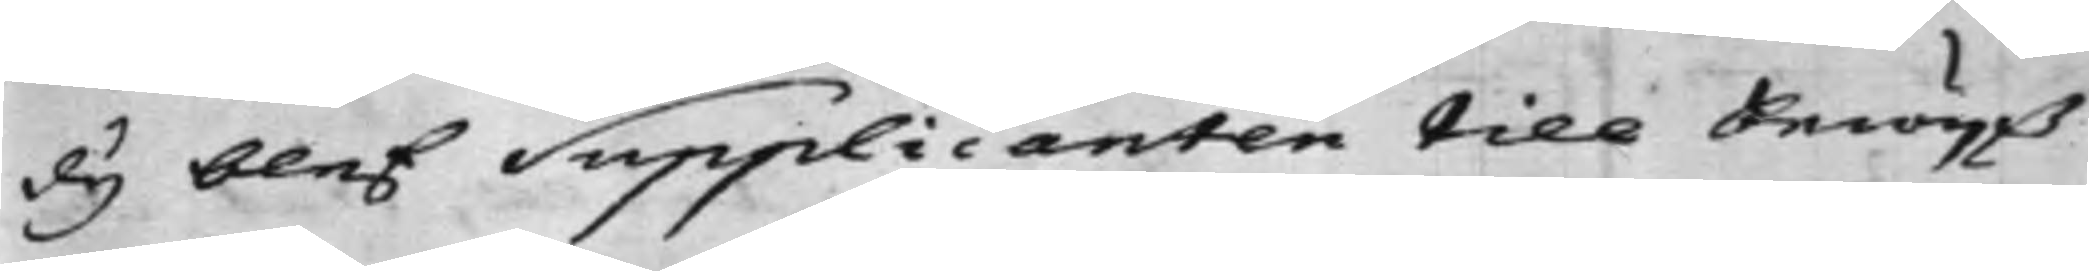dy blef Supplicanten till Bewijß
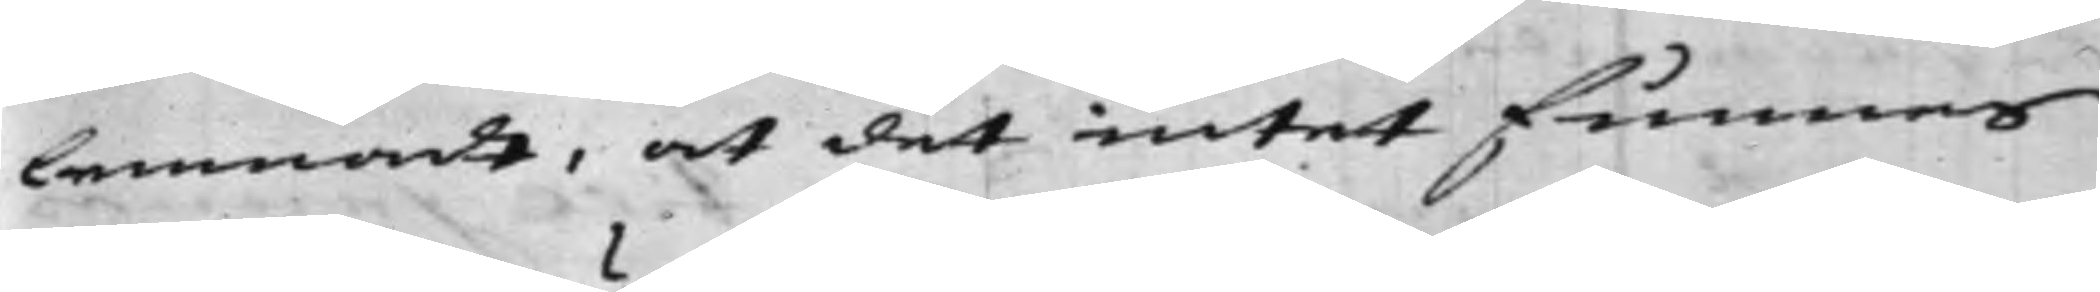lemnadt, at det intet funnes
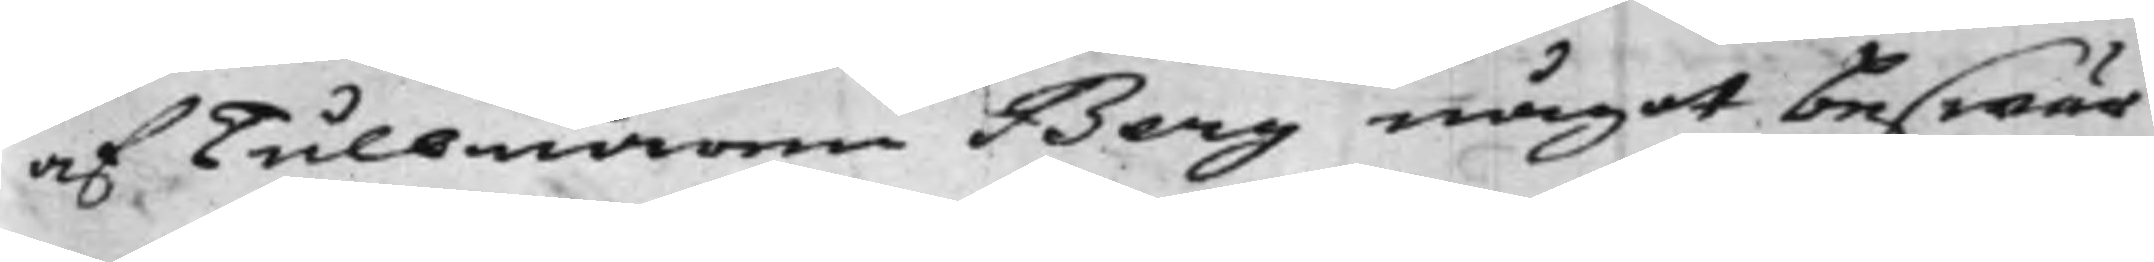af Tullnären Berg något beswär
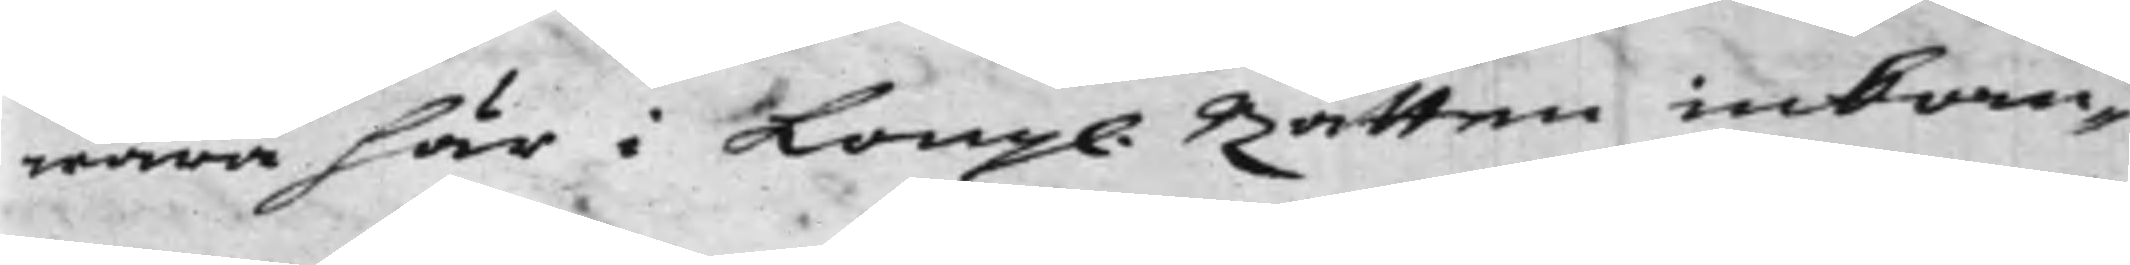wara här i Kong. Rätten inkom¬
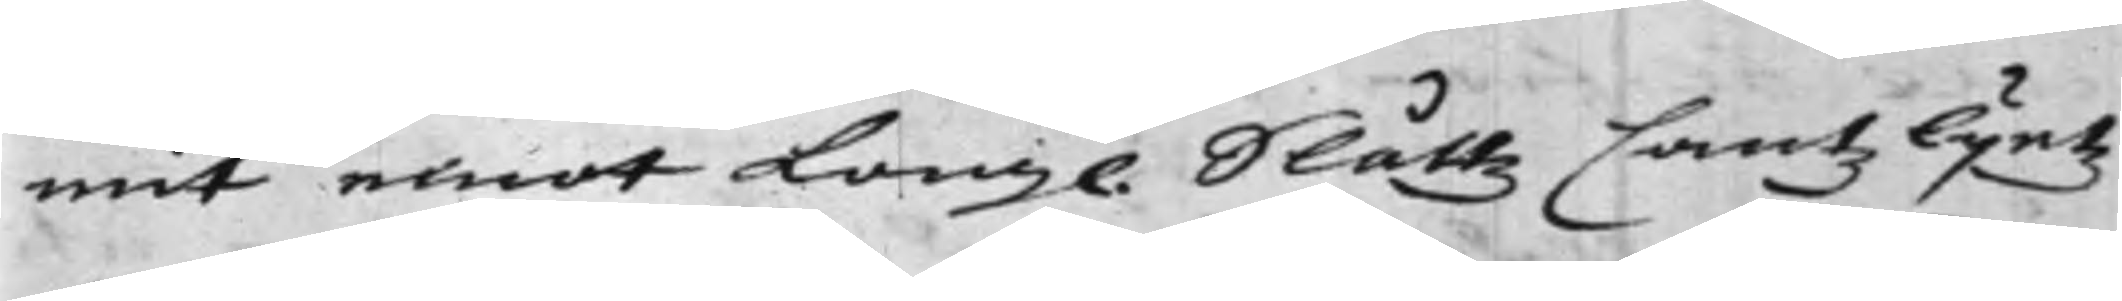mit emot Kongl. SlåttzCantzlijetz
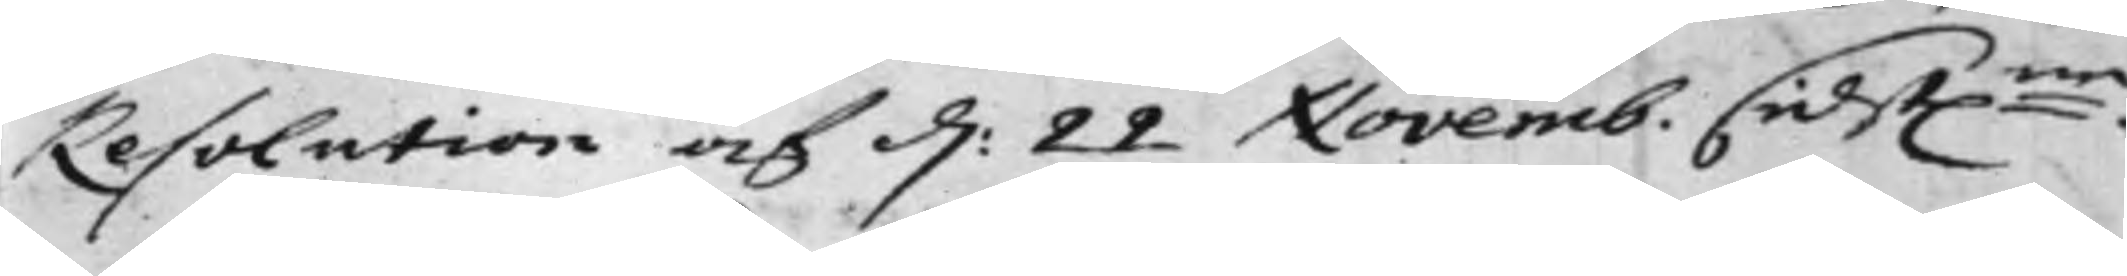Resolution af d: 22 Novemb. sidst:ne.
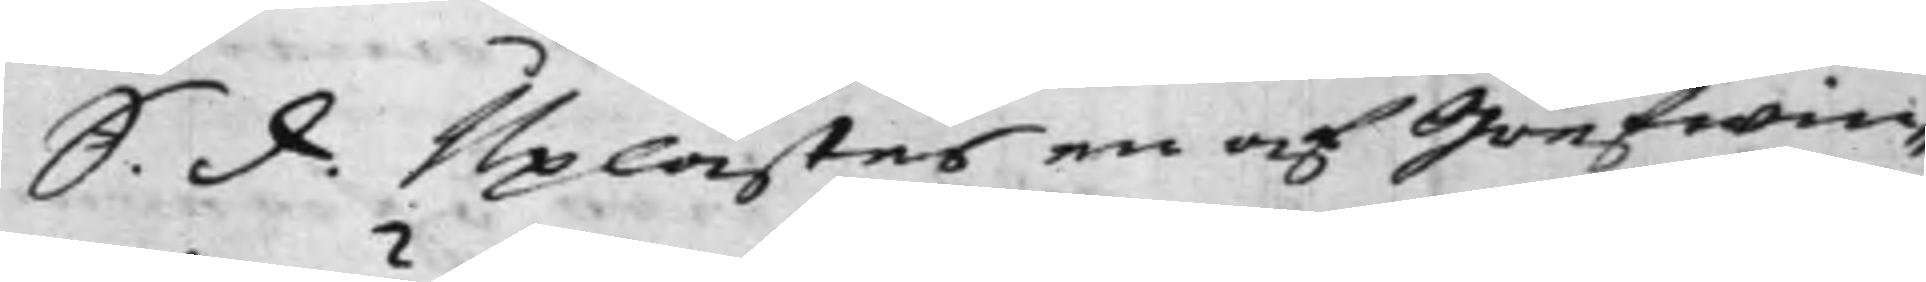S. d. Uplästes en af Grefwin¬
